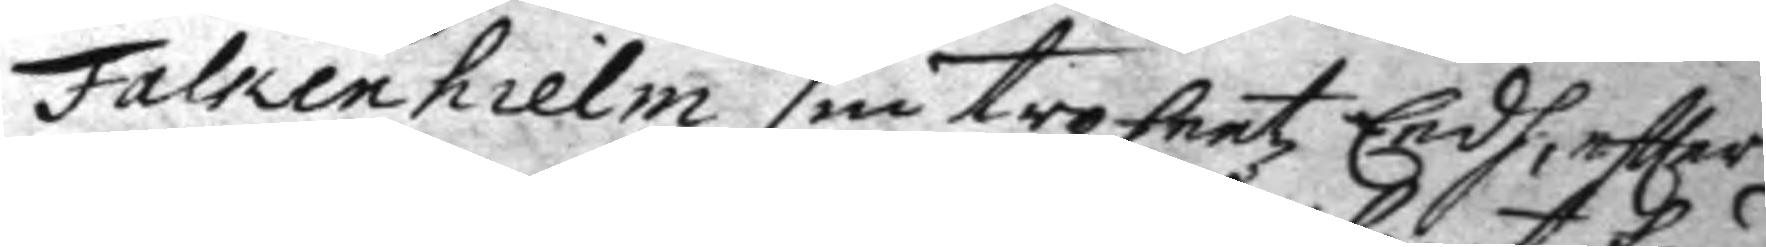Falkenhielm sin trohetz Eed, eftter
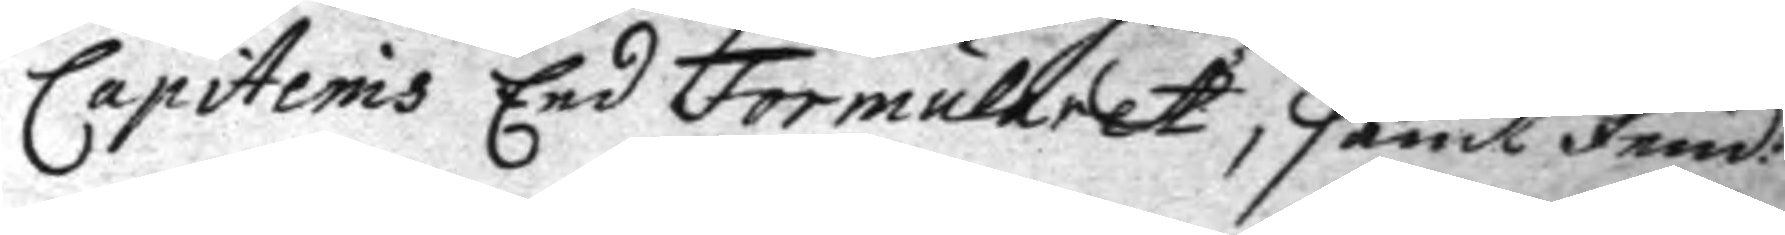Capitenis Eed Formuleret, samt Fend:
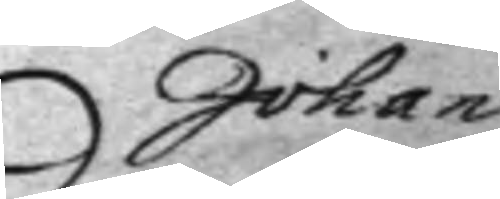Johan
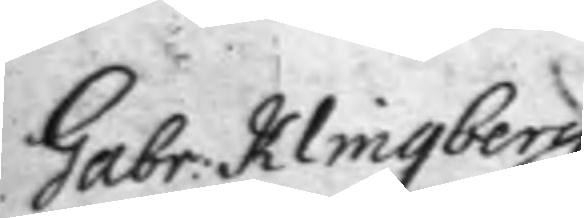Gabr: Klingberg.
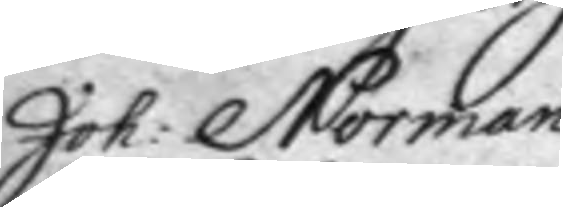Joh: Norman.
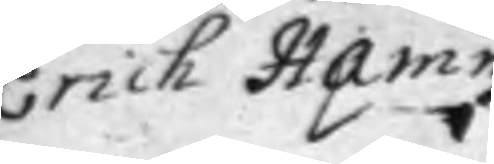Erick Hamn.
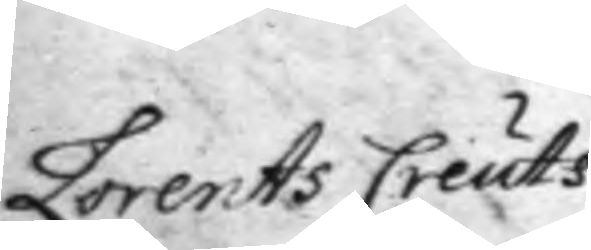Lorents Creuts.
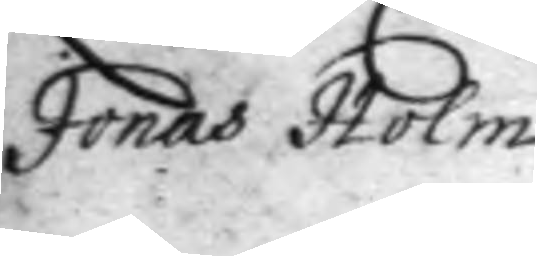Jonas Holm.
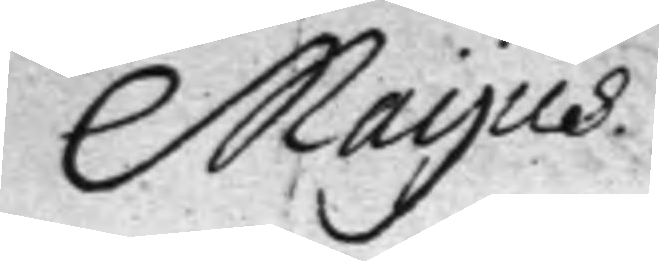Mayus
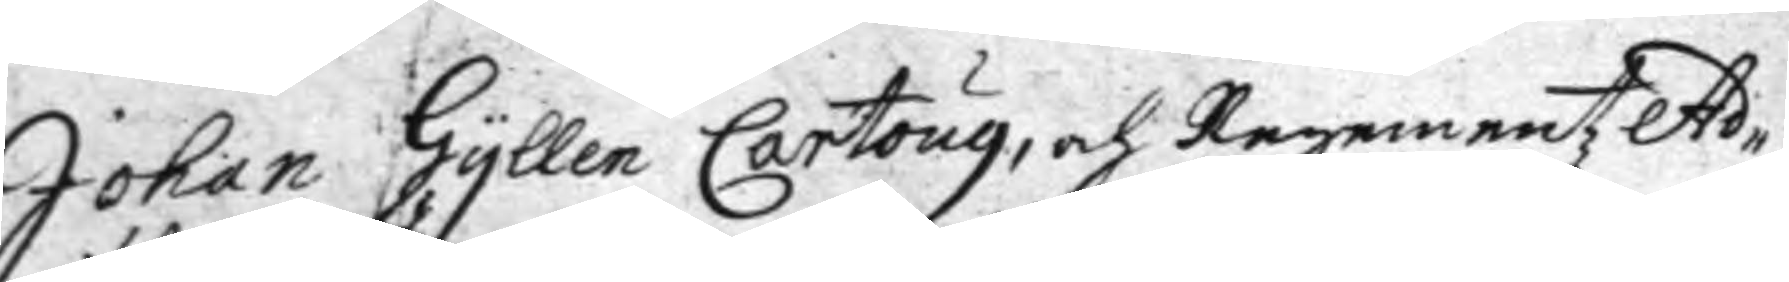Johan Gyllen Cartoug, och Regementz Ad¬
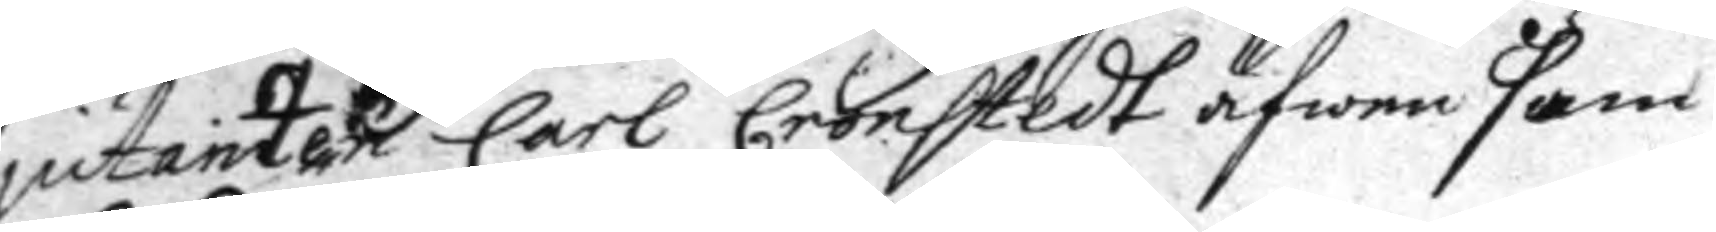iutanten Carl Cronstedt äfwen som
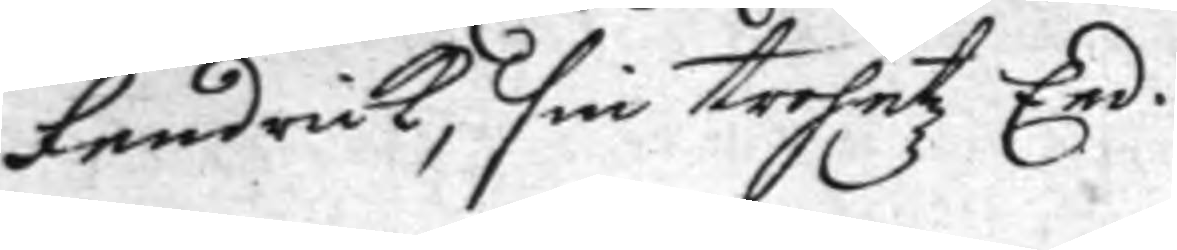fendrick, sin trohetz Eed.
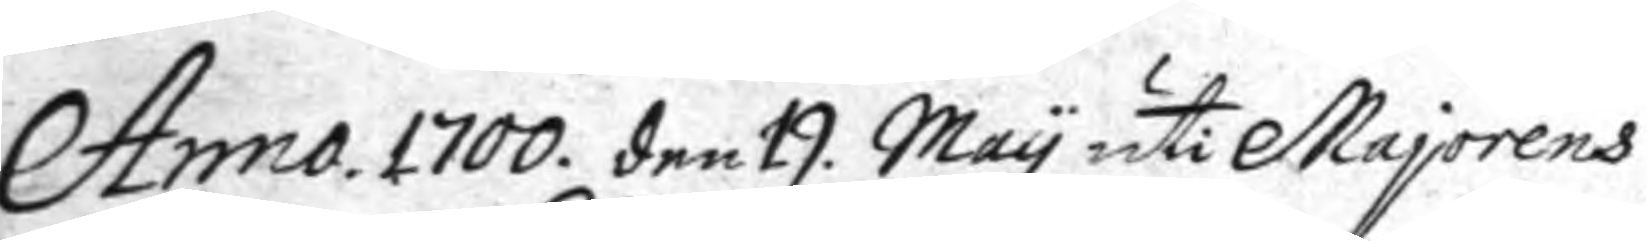Anno 1700. den 19. May uti Majorens
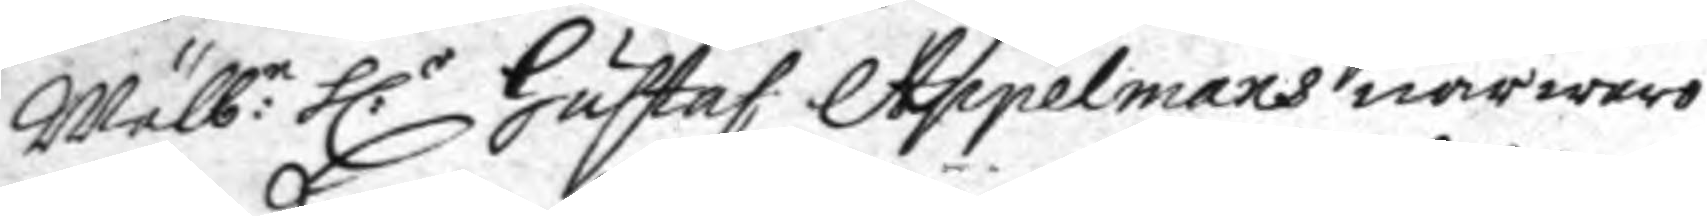Wälb:e h:r Gustaf Appelmans närwaro
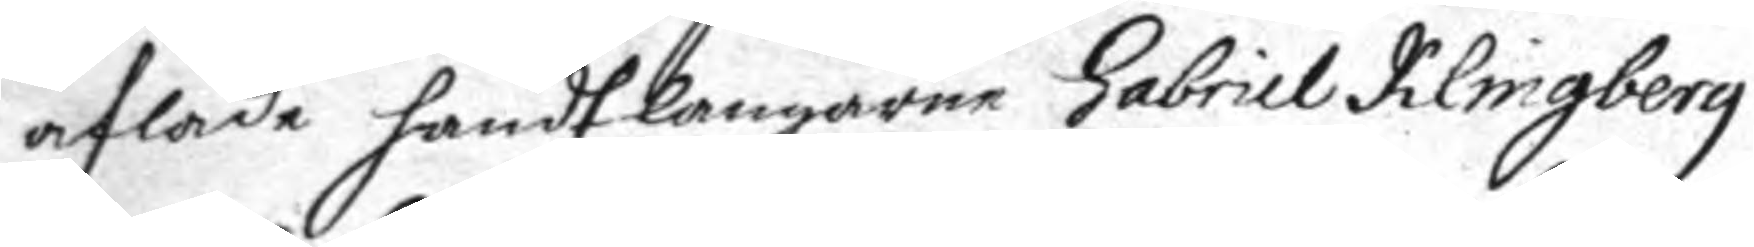aflade handtlangarne Gabriel Klingberg
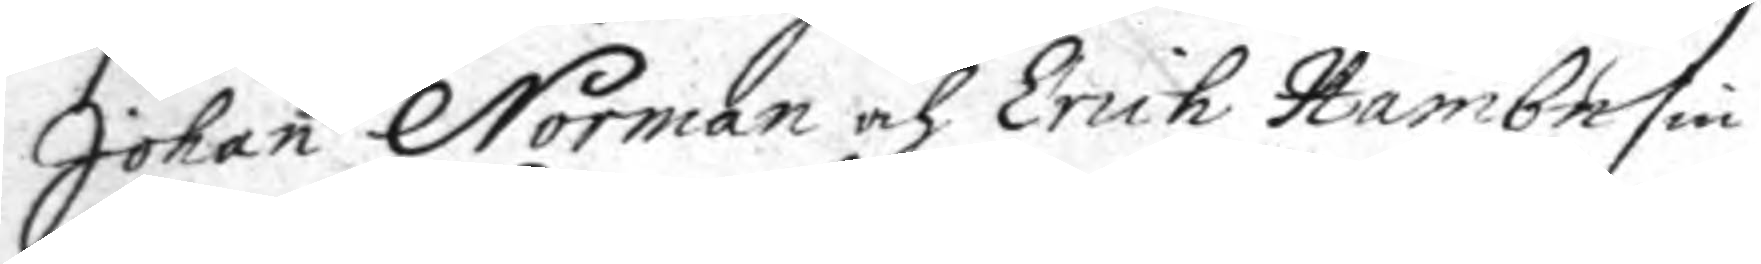Johan Norman och Erich Hambn sin
